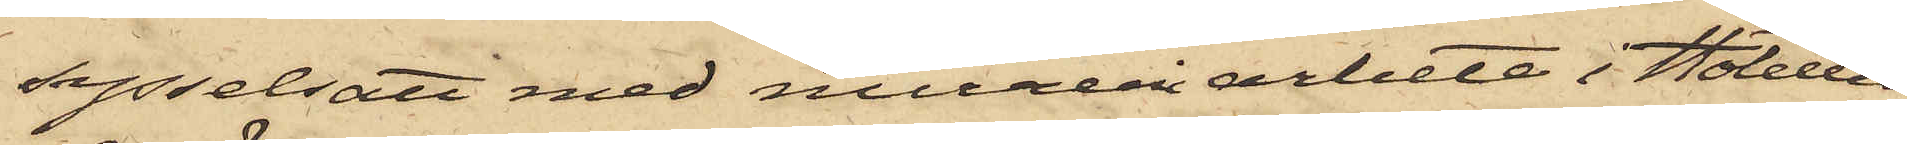sysselsatt med mureriarbete i Hotellet,
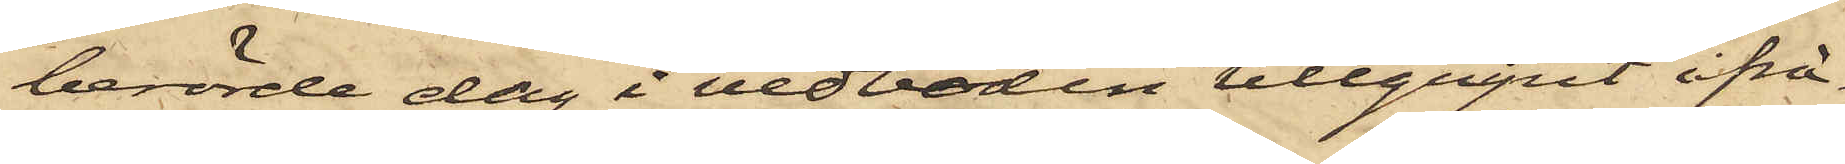berörde dag i vedboden tillgripit ifrå¬
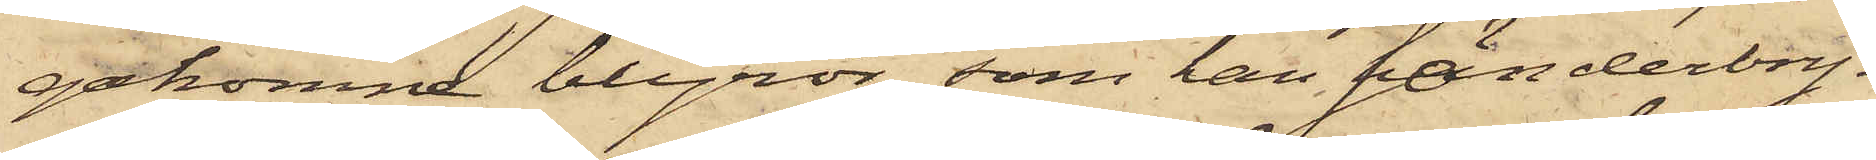gakomne blyrör, som han sönderbry¬
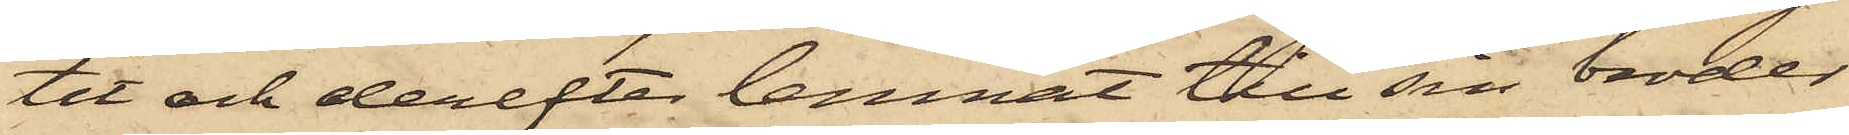tit och derefter lemnat till sin broder
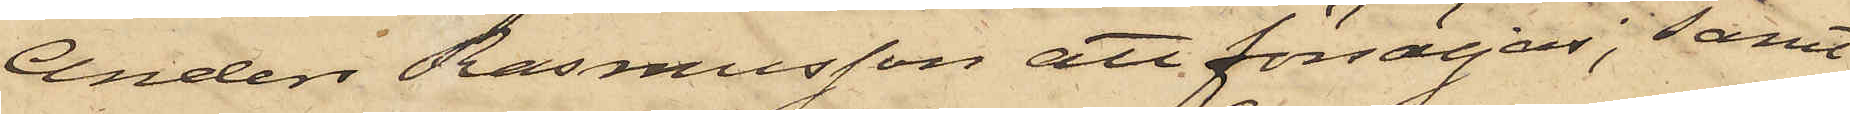Anders Rasmusson att försäljas; samt
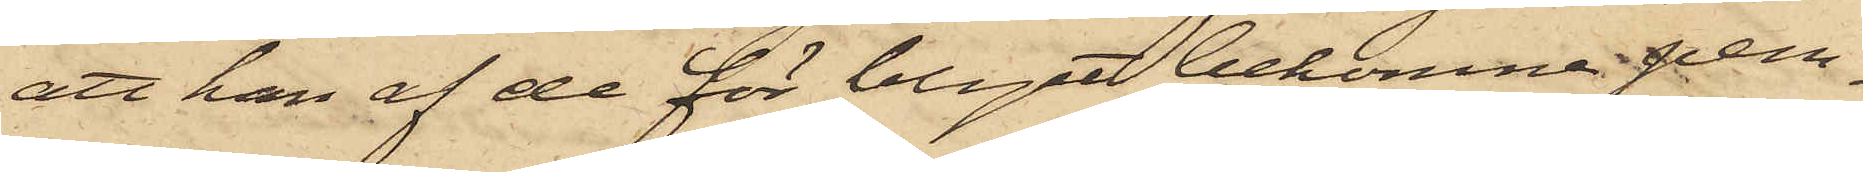att han af de för blyet bekomne pen¬
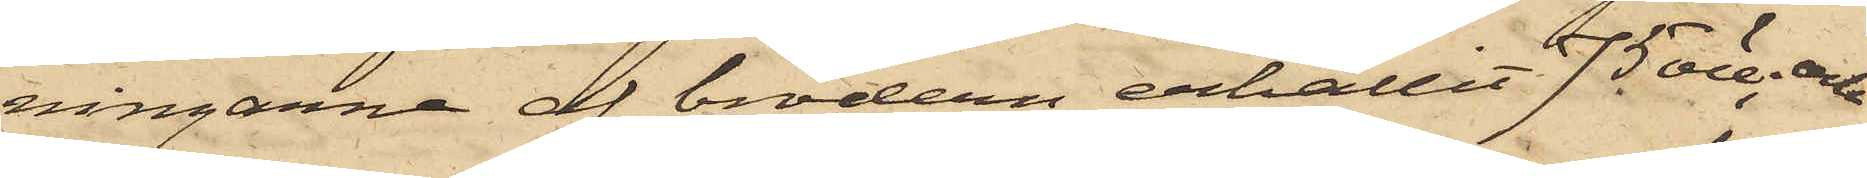ningarne af brodern erhållit 75 öre; och
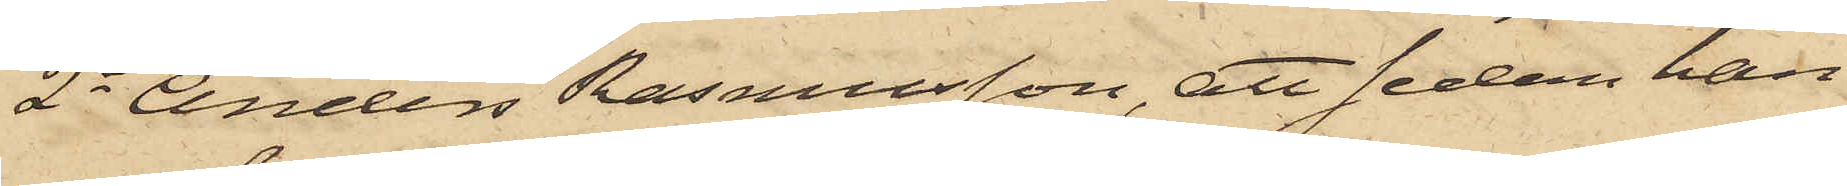2o Anders Rasmusson, att sedan han
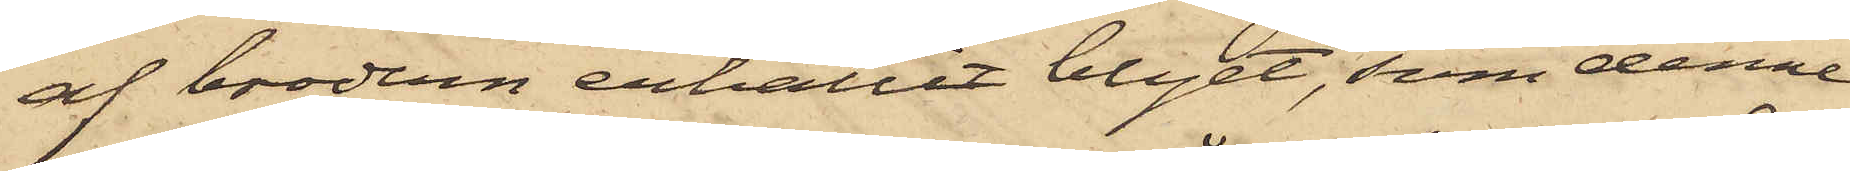af brodern erhållit blyet, som denne
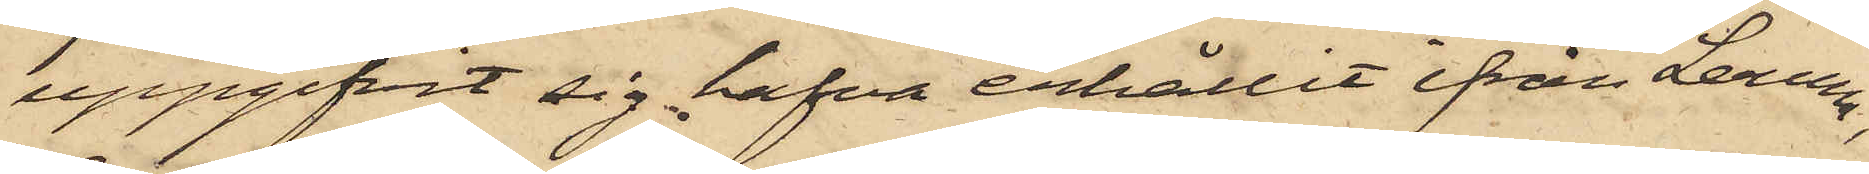uppgifvit sig hafva erhållit ifrån Lerum,
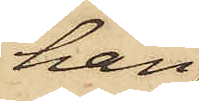han
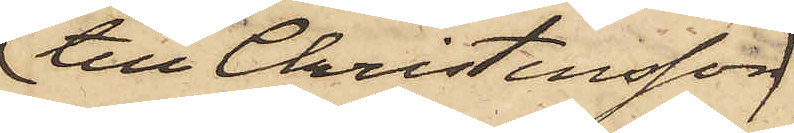till Christensson
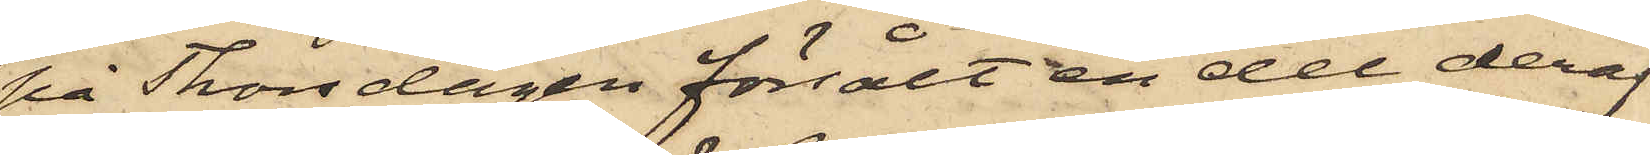på Thorsdagen försålt en del deraf
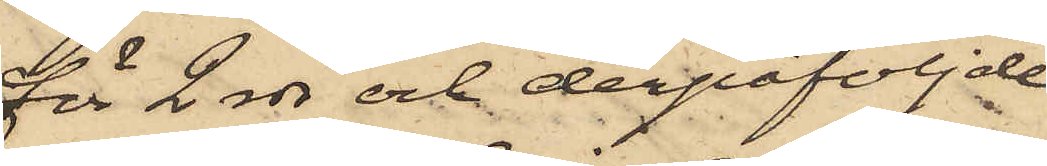för 2 rdr och derpåföljde
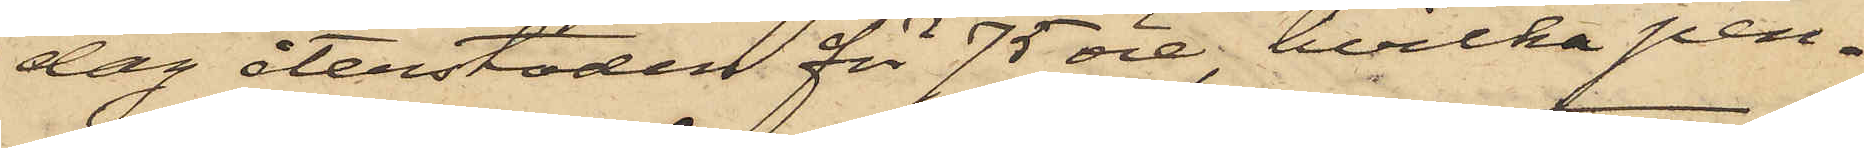dag återstoden för 75 öre, hvilka pen¬
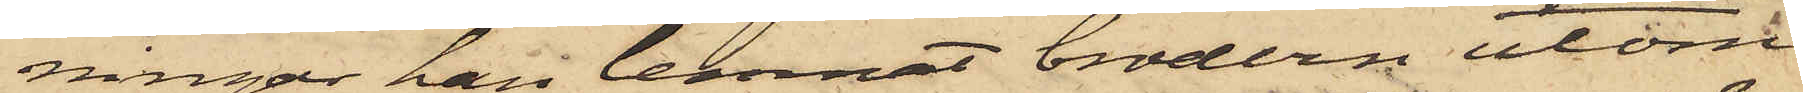ningar han lemnat brodern utom
